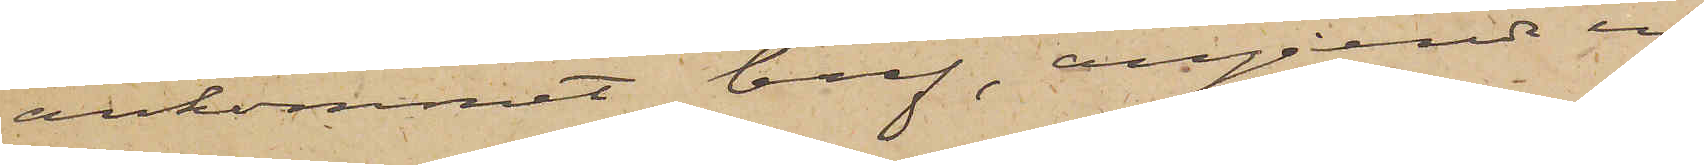ankommit bref, angående en
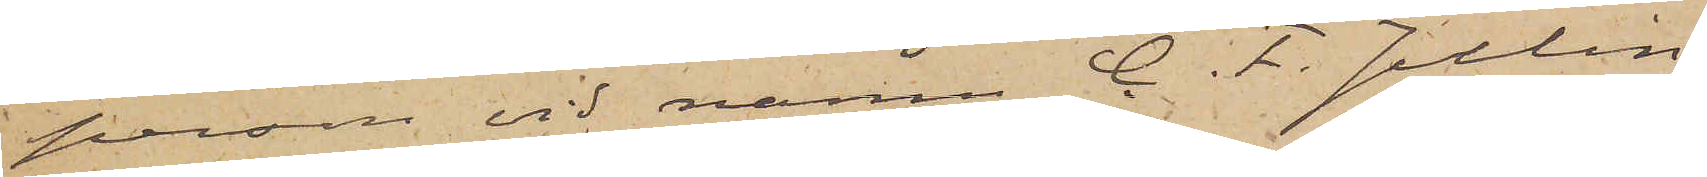person vid namn C. F. Julin
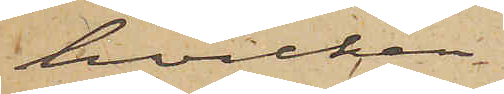hvilken
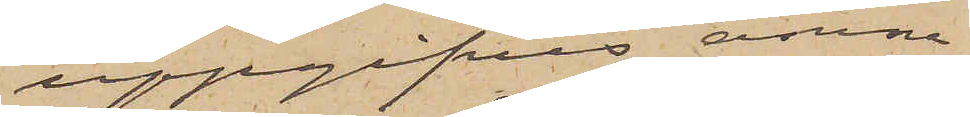uppgifves ämna
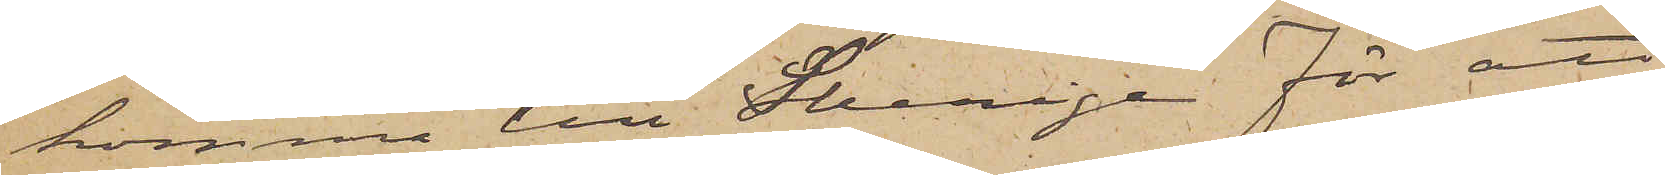komma till Sverige för att
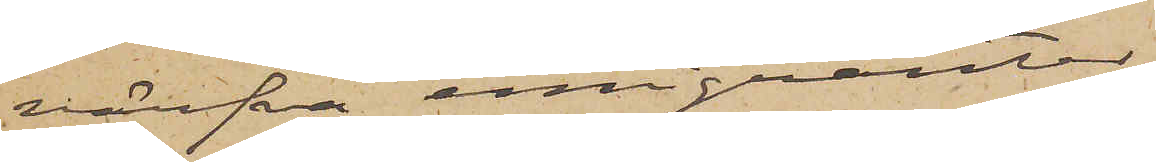värfva emigranter,
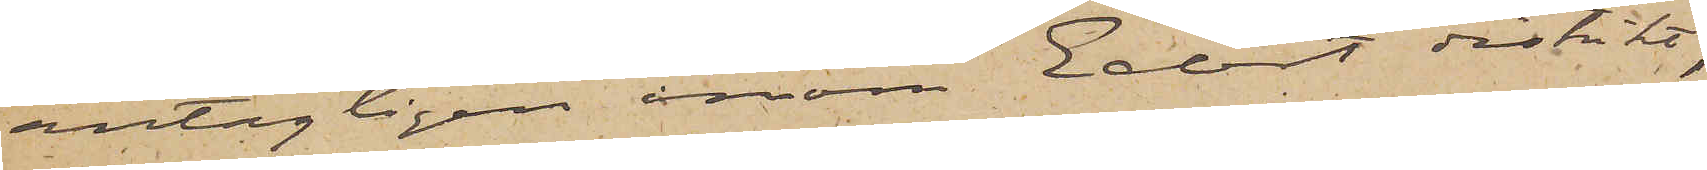antagligen inom Edert distrikt,
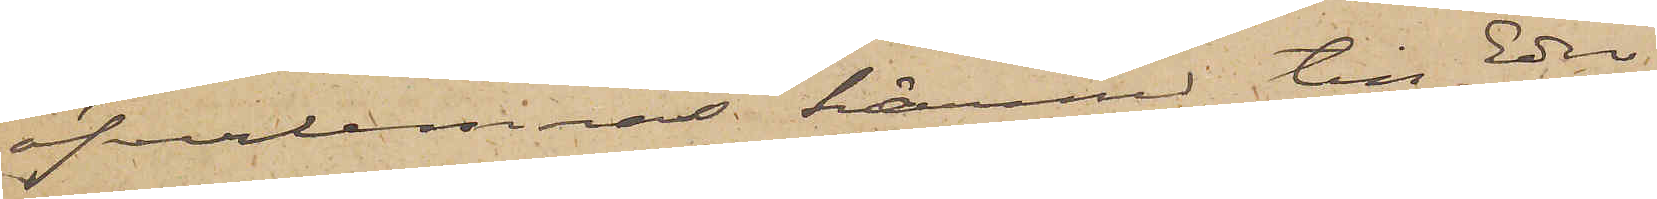öfverlemnas härmed till Eder
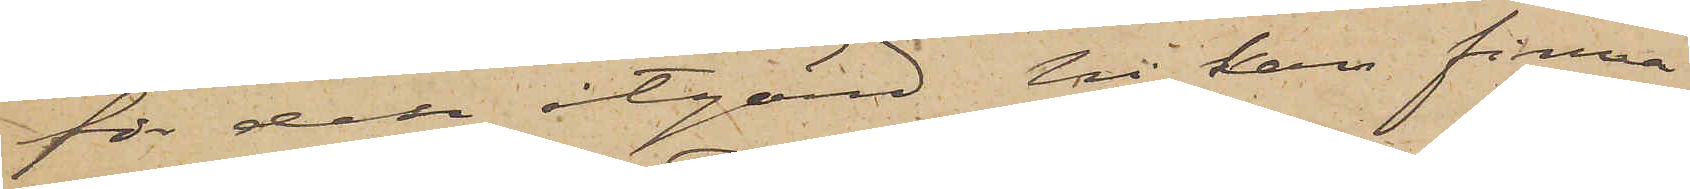för den åtgärd Ni kan finna
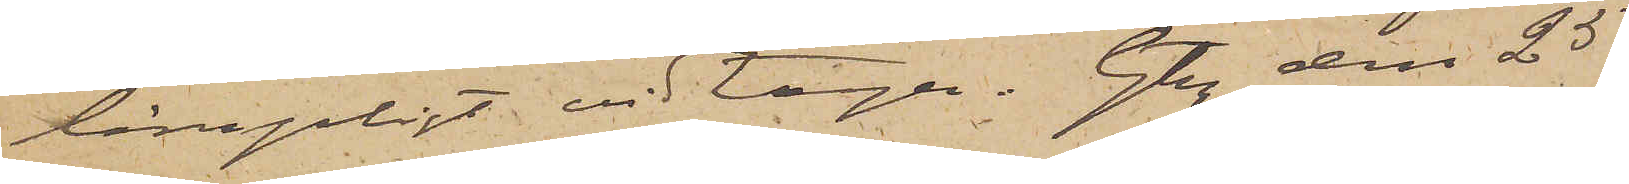lämpligt vidtaga. Gtbg den 25
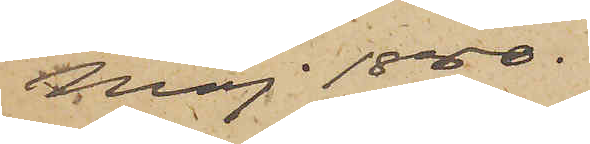Maj 1880.
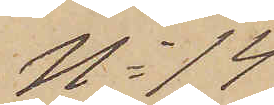No 14
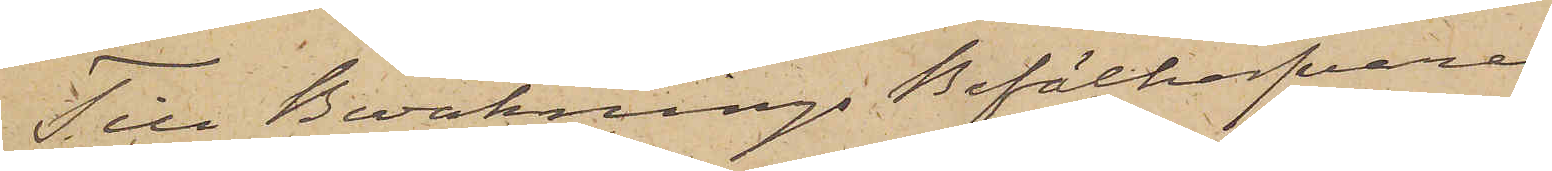Till BevakningsBefälhafvaren
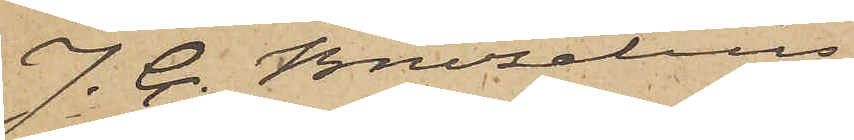J. C. Bruzelius
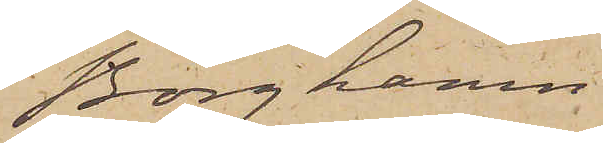Borghamn
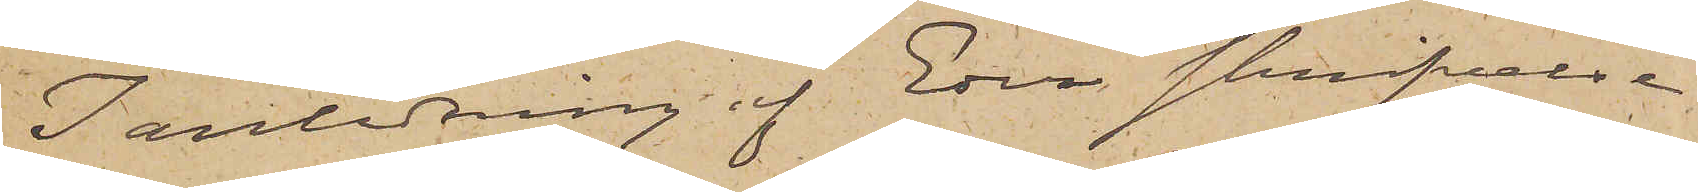I anledning af Eder skrifvelse
